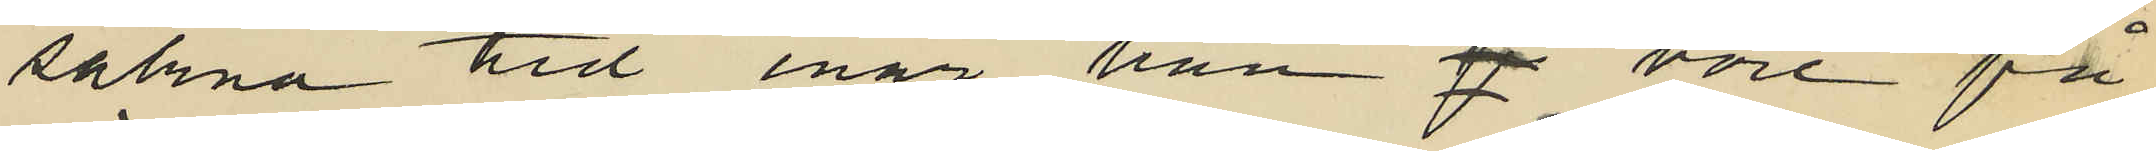sakna tid enär han vore på
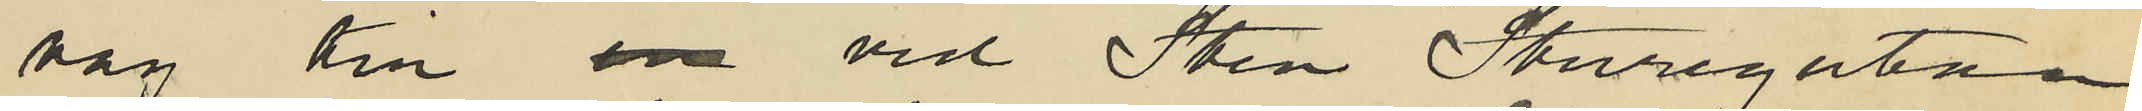väg till vid Sten Sturegatan
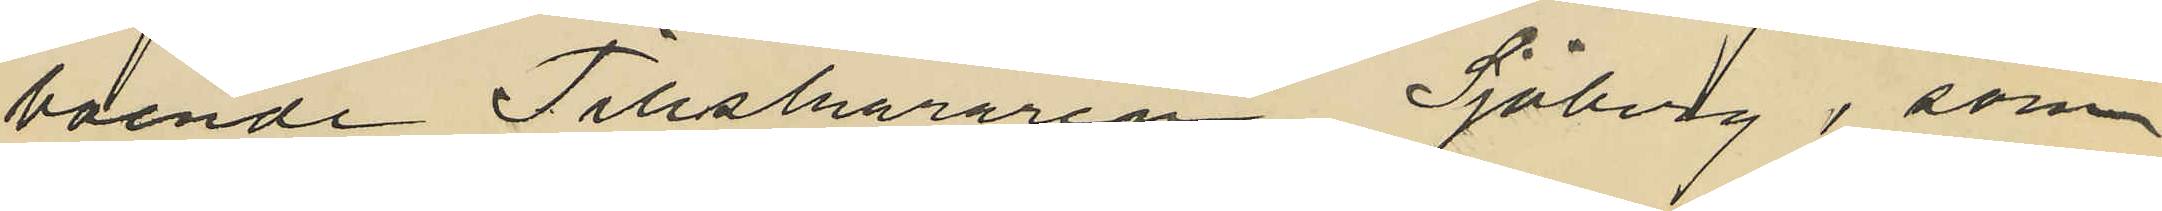boende Tillskäraren Sjöberg, som
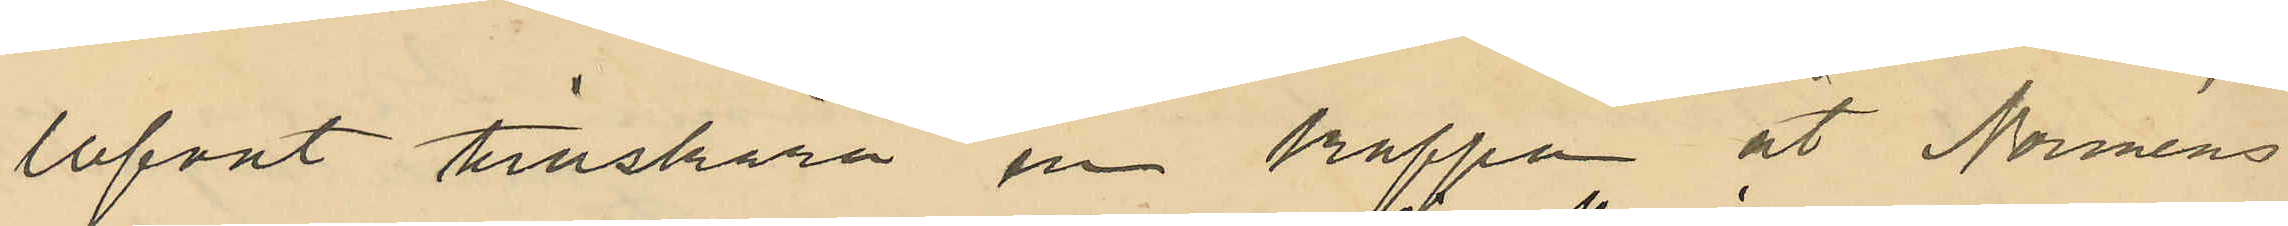lofvat tillskära en kappa åt Norméns
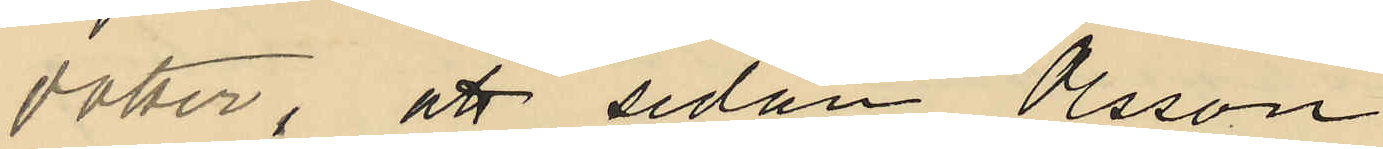dotter, att sedan Olsson
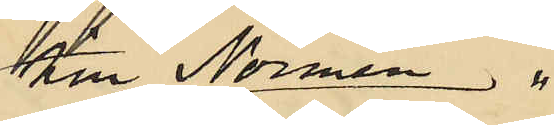till Normén
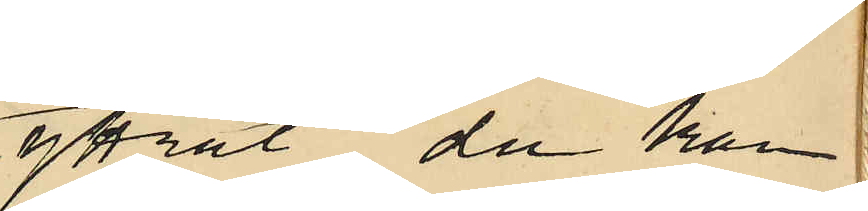yttrat "du kan
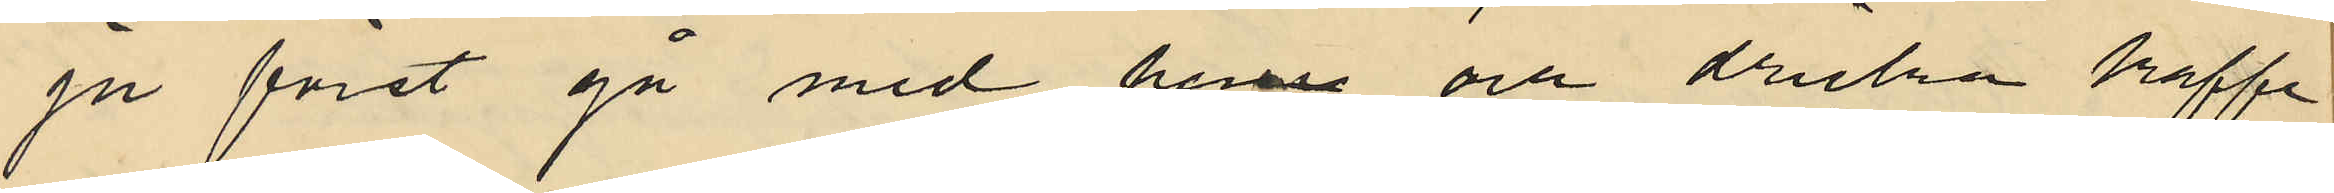ju först gå med hem och dricka kaffe
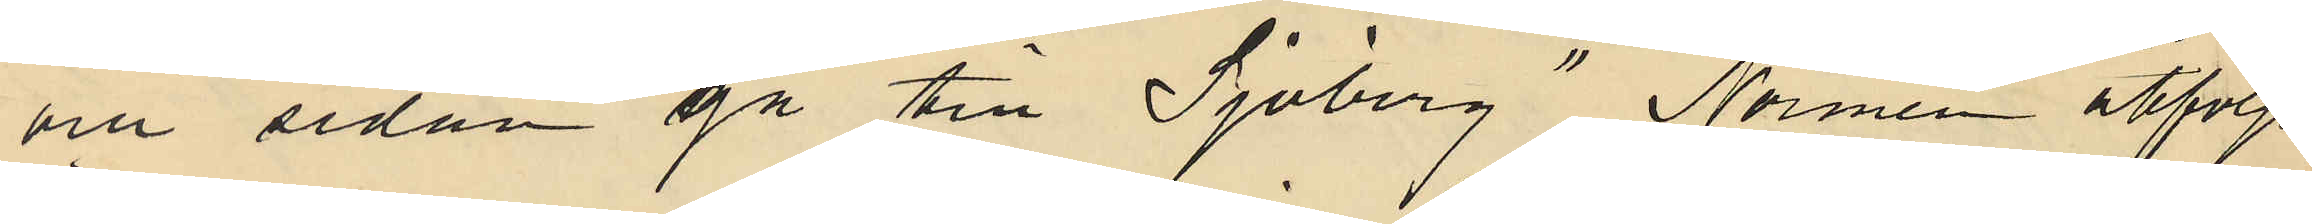och sedan gå till Sjöberg" Normen åtföljt
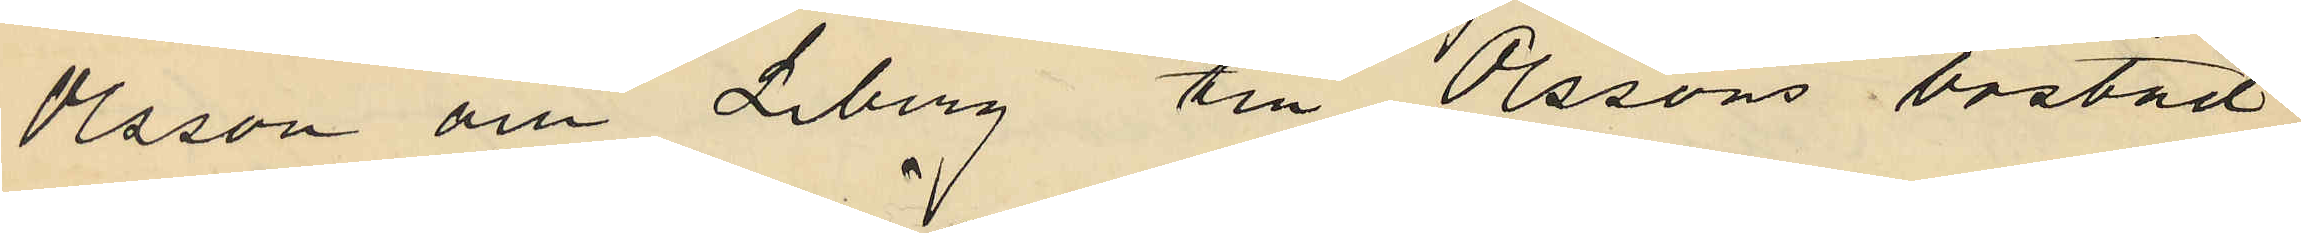Olsson och Liberg till Olssons bostad
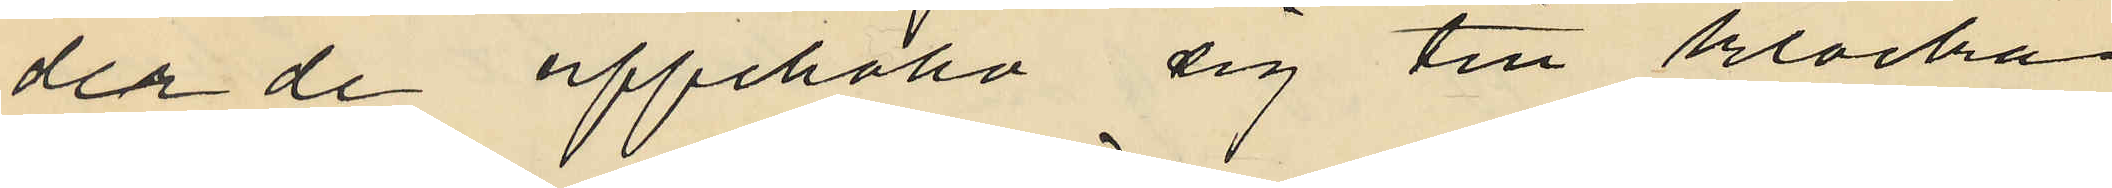der de uppehållo sig till klockan
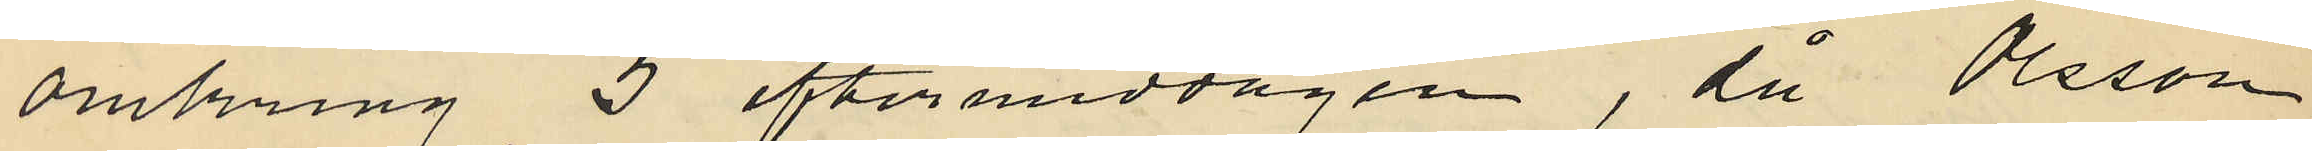omkring 5 eftermiddagen, då Olsson
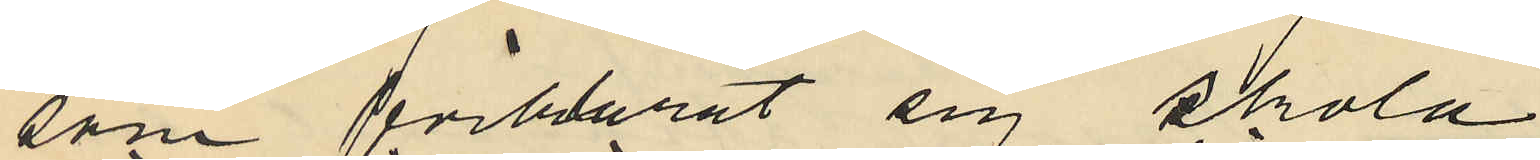som förklarat sig skola
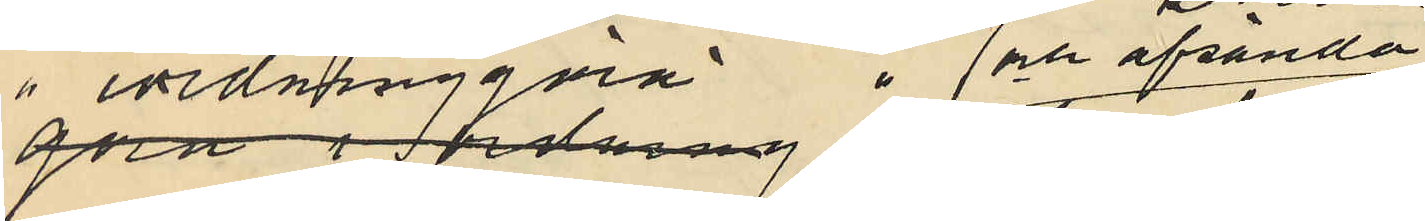iordningsgöra och afsända
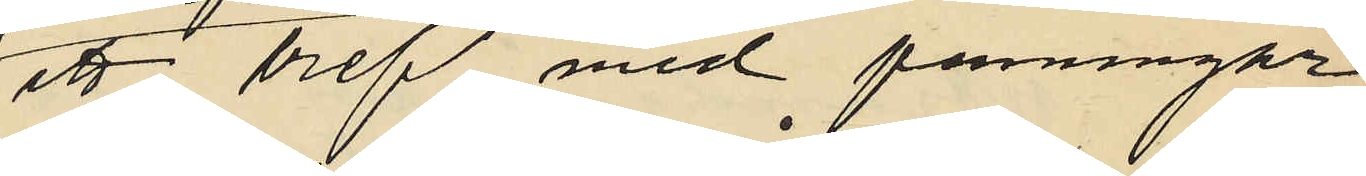ett bref med penningar,
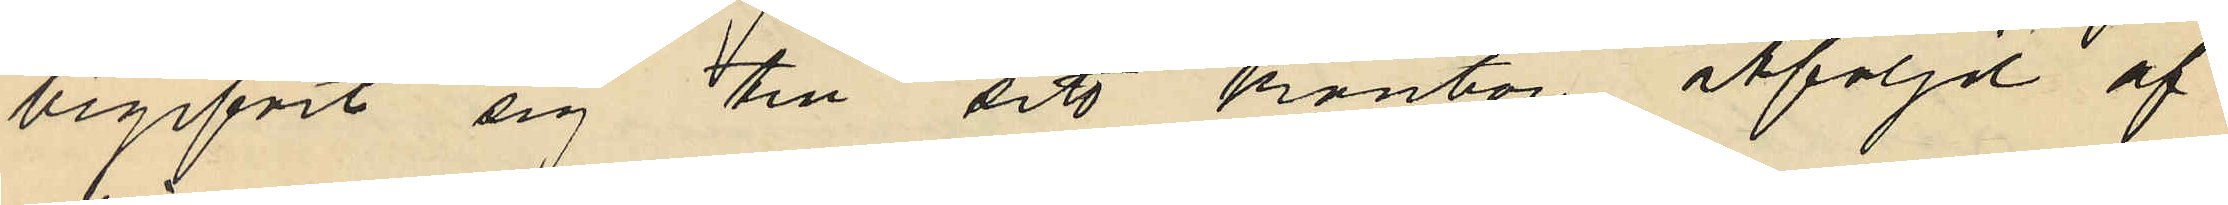begifvit sig till sitt kontor, åtföljd af
